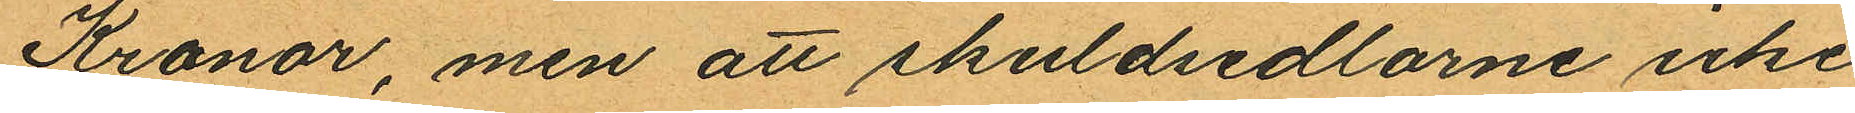Kronor, men att skuldsedlarne icke
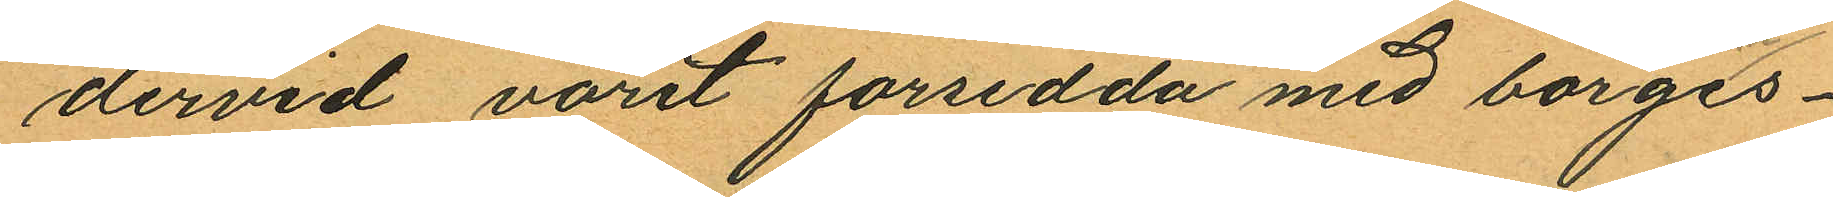dervid varit forsedda med borges¬
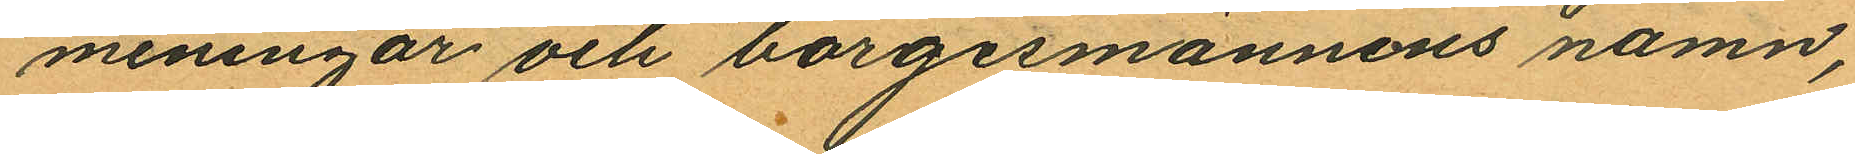meningar och borgesmännens namn,
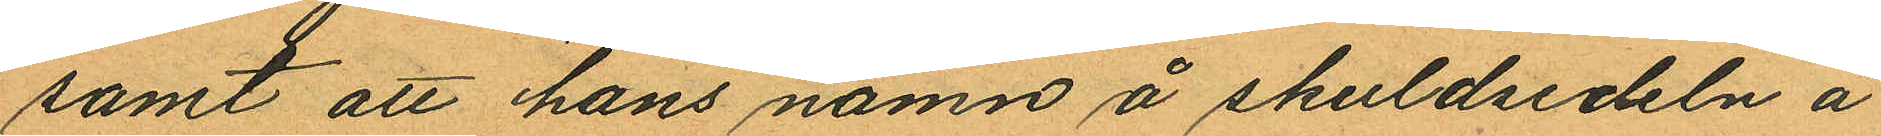samt att hans namn å skuldsedeln å
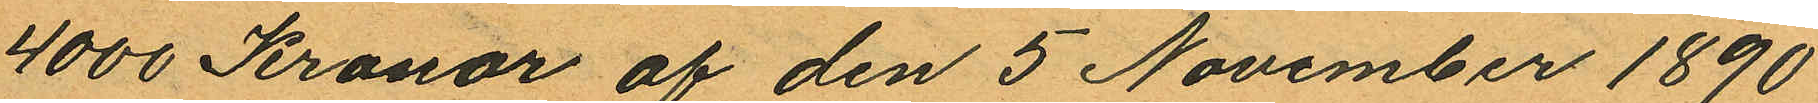4000 Kronor af den 5 November 1890
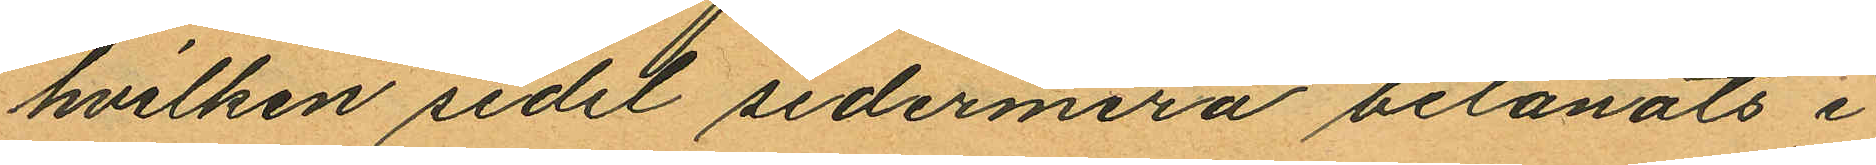hvilken sedel sedermera belånats i
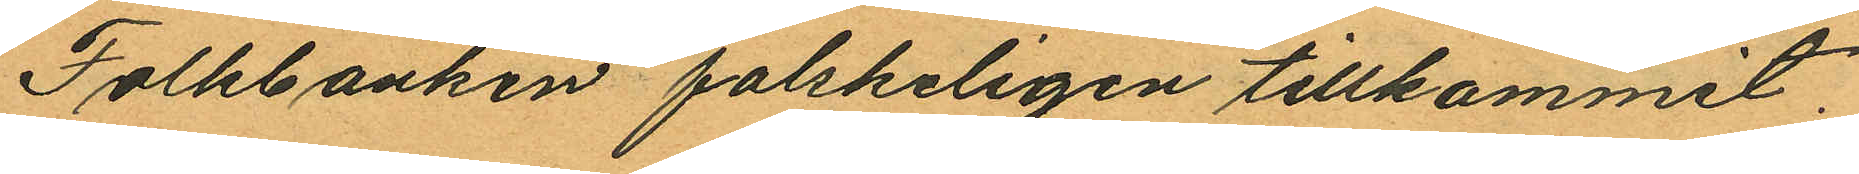Folkbanken falskeligen tillkommit.
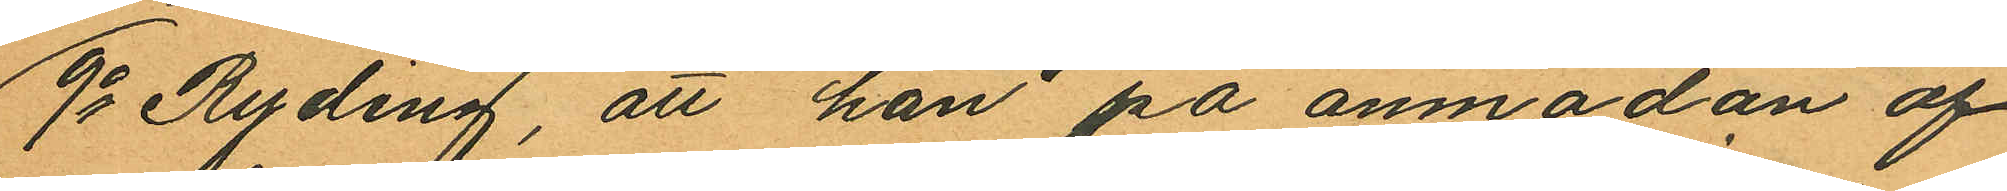9o Ryding, att han på anmodan af
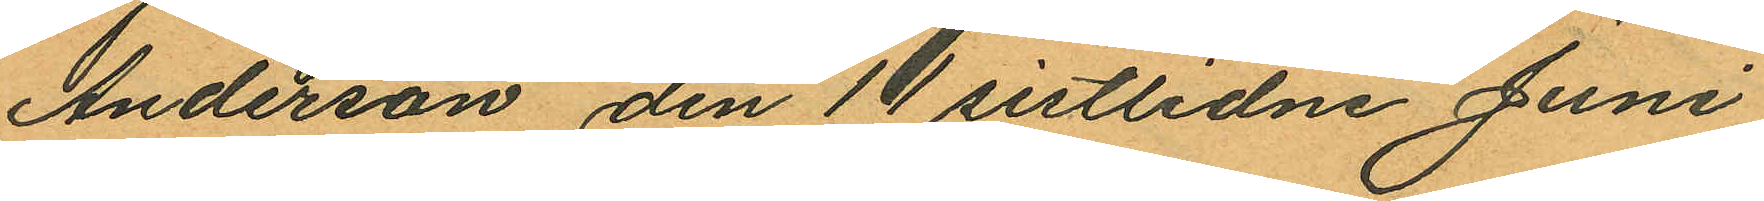Anderson den 11 sistlidne Juni
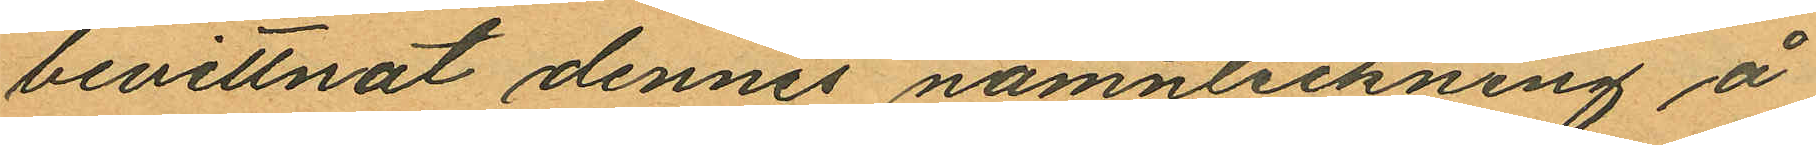bevittnat dennes namnteckning å
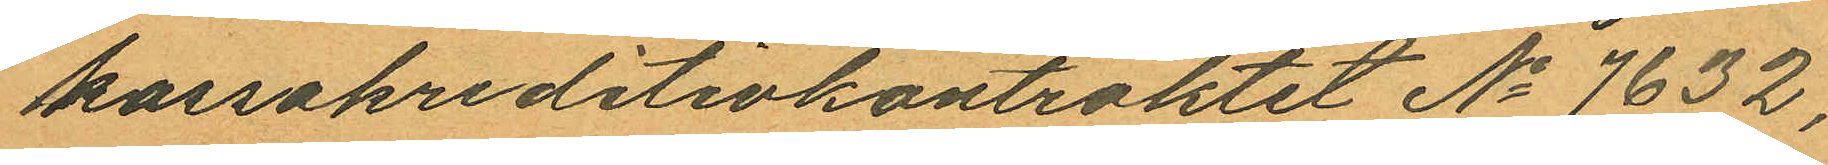kassakreditivkontraktet No 7632,
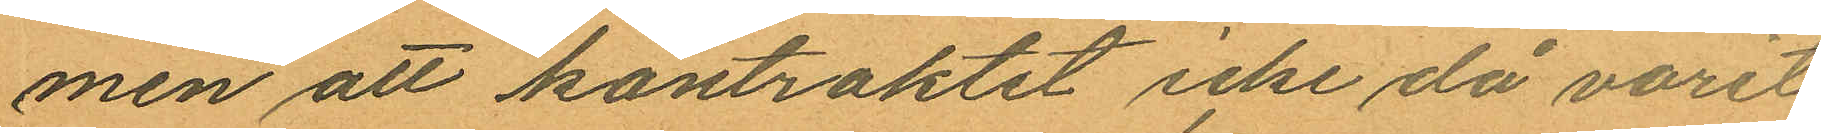men att kontraktet icke då varit
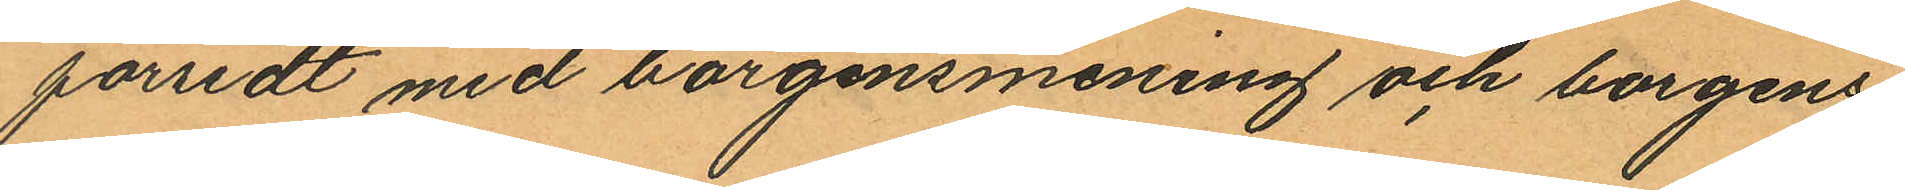försedt med borgensmening och borgens¬
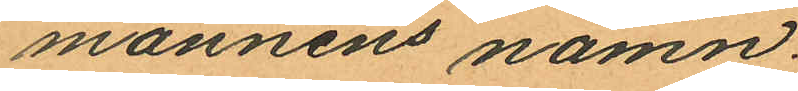mannens namn.
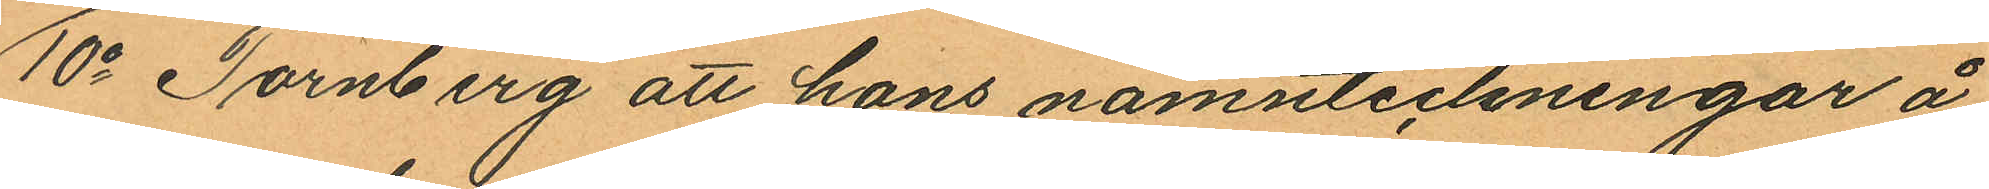10o Tornberg att hans namnteckningar å
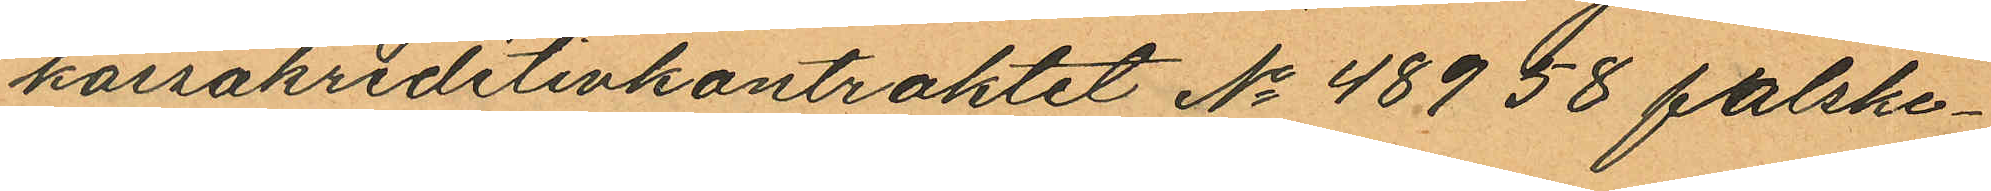kassakreditivkontraktet No 48958 falske¬
